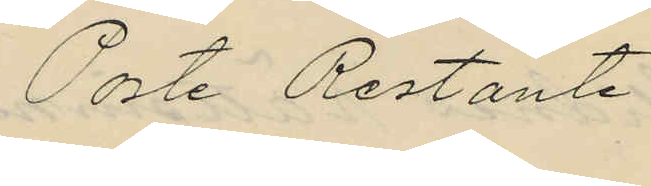Poste Restante
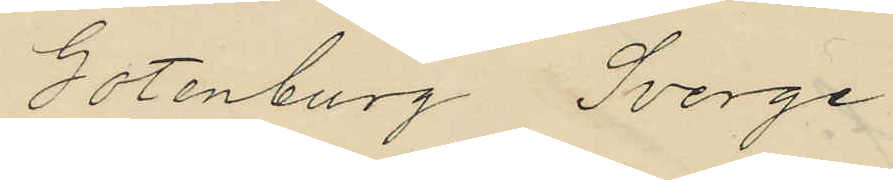Gotenburg Sverge
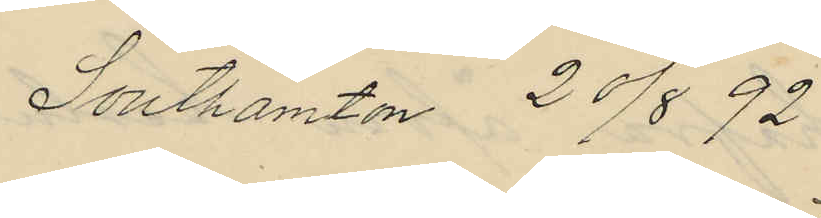Southamton 20/8 92
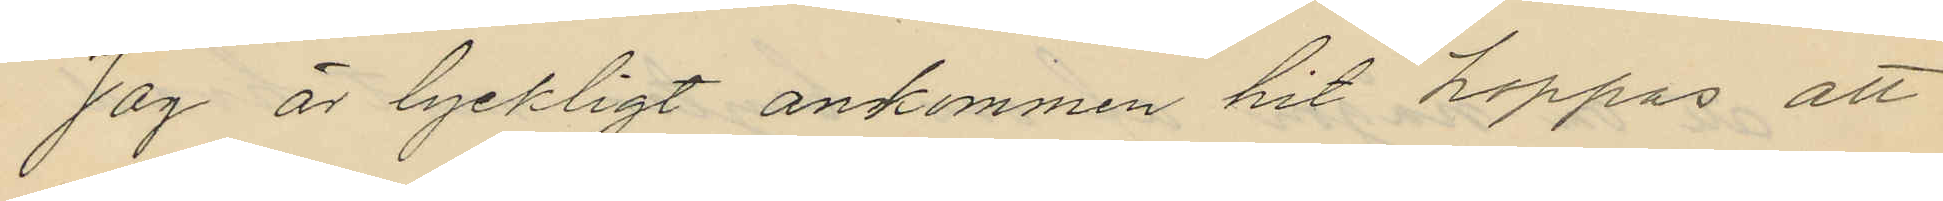Jag är lyckligt ankommen hit happas att
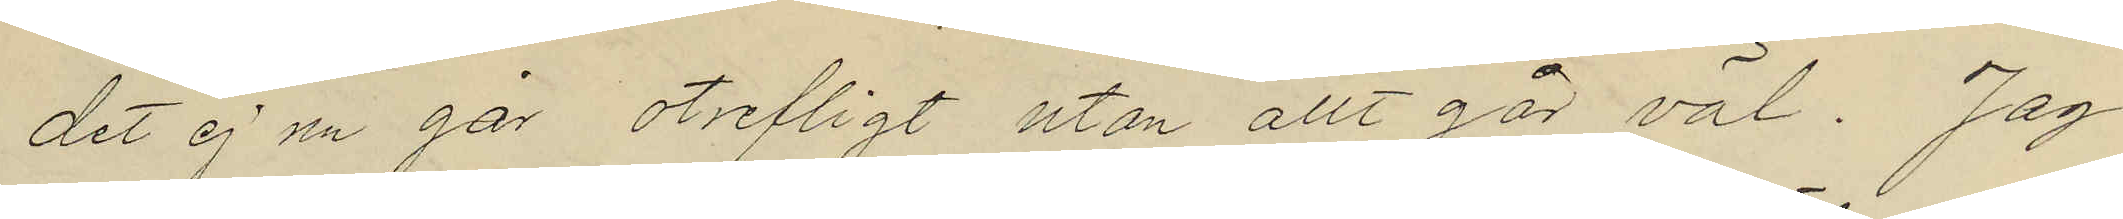det ej nu går otrefligt utan allt går väl. Jag
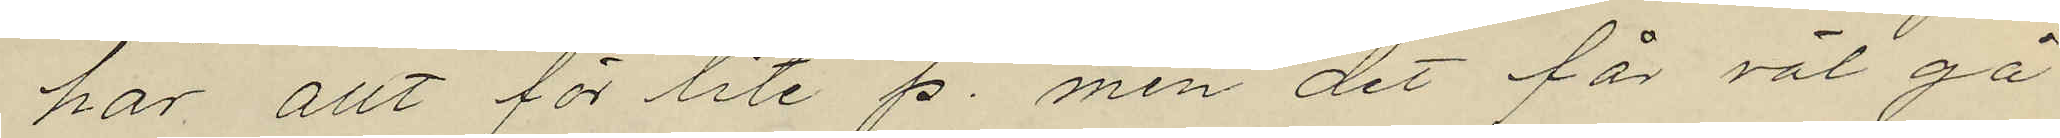har allt för lite p. men det får väl gå
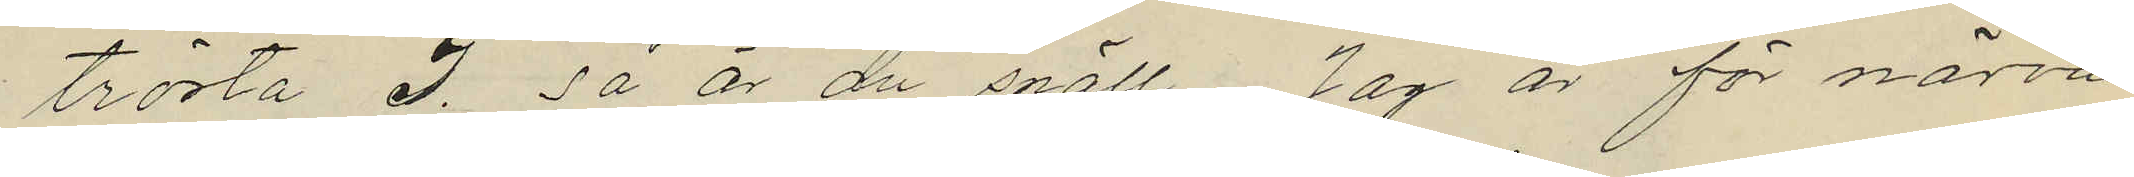trösta I. så är du snäll. Jag är för närva¬
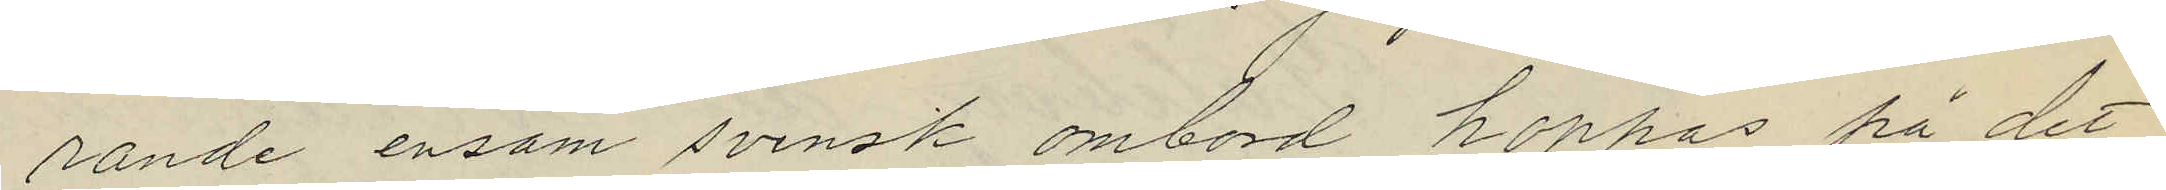rande ensam svensk ombord hoppas på det
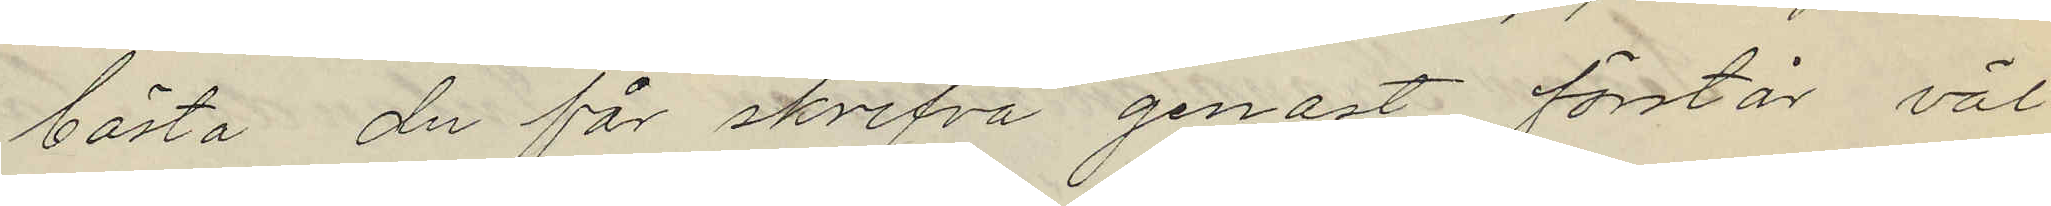bästa du får skrifva genast förstår väl
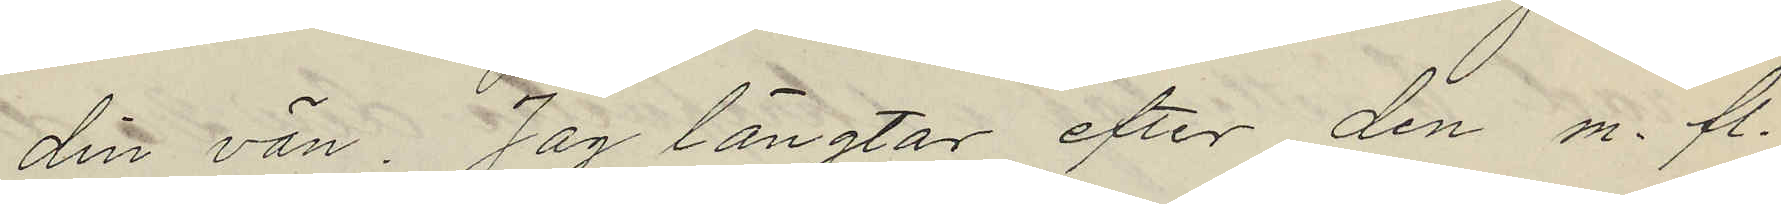din vän. Jag längtar efter den m. fl.
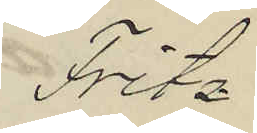Fritz
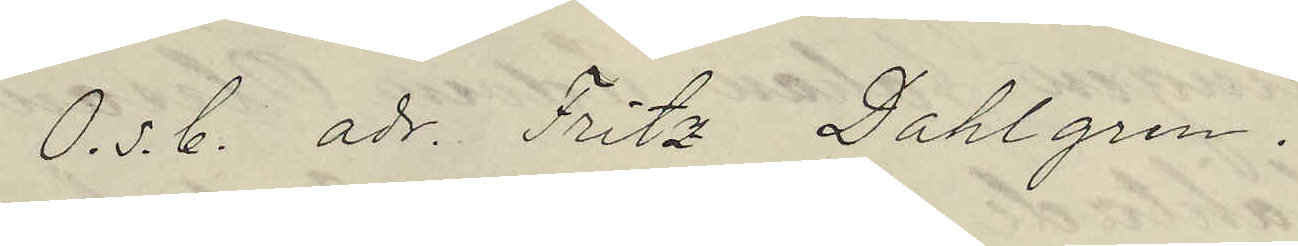O.s.C. adr. Fritz Dahlgren.
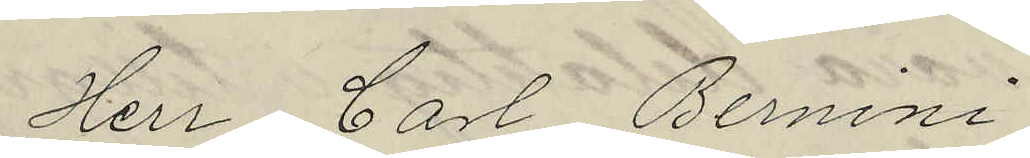Herr Carl Bernini
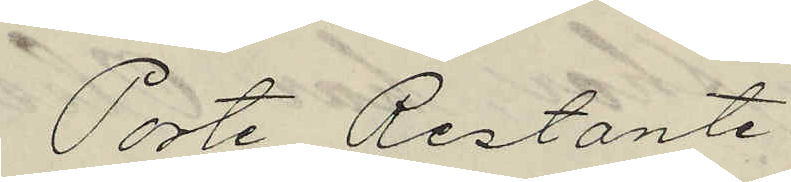Poste Restante
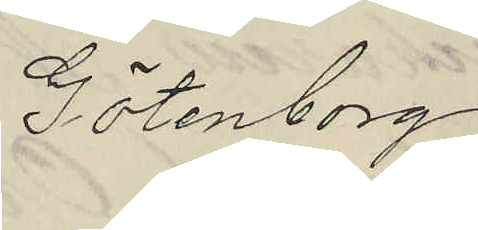Götenborg
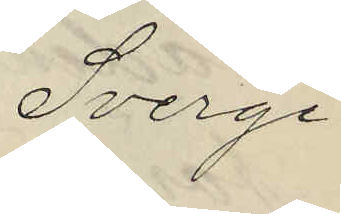Sverge
